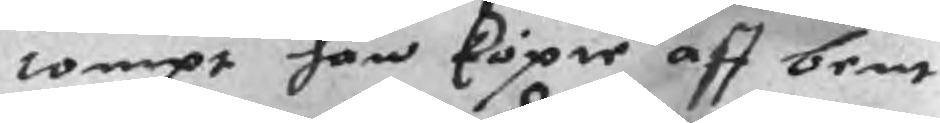tompt han köpie aff bent
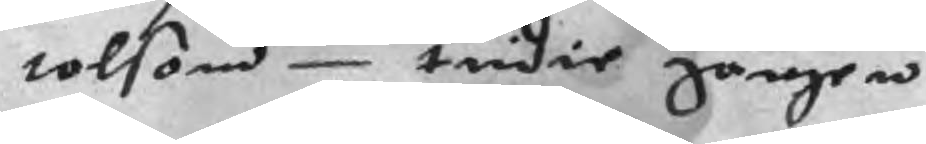tolson tridie gången
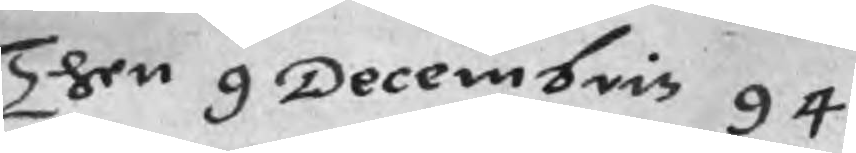Then 9 Decembris 94
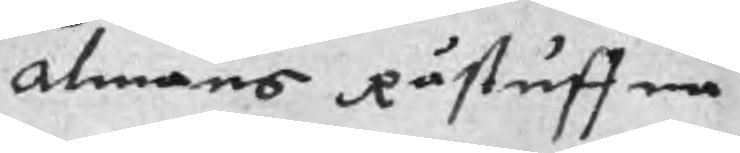Almans Råstuffua
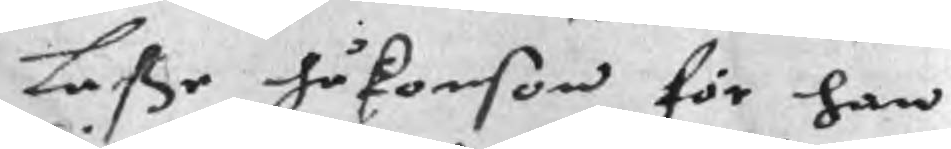Laße håkonson för han
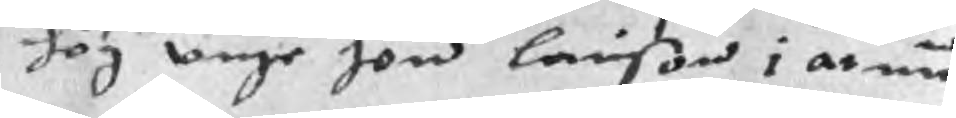hög vnge Jon Larison i armen
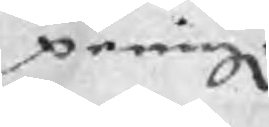peningr	4 mC
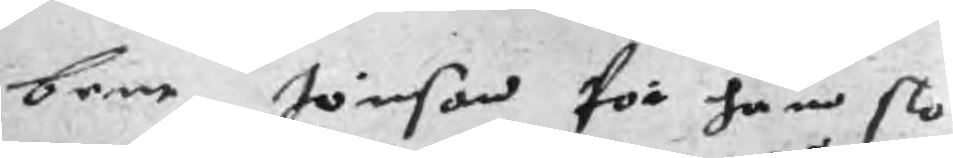bent Jönson för han slo
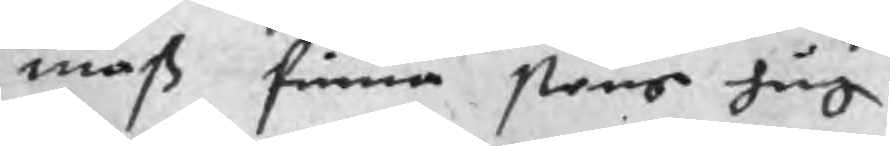mats finna slens hug
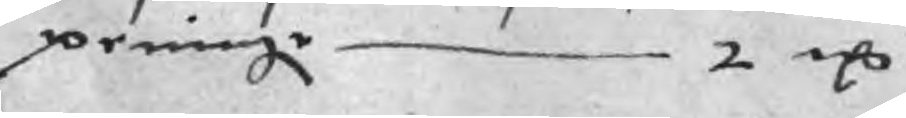peningr 2 mC
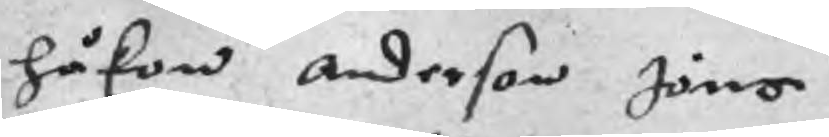håkon Anderson Jöns
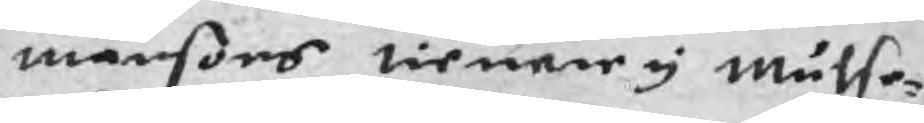månsons tiener y Mulse¬
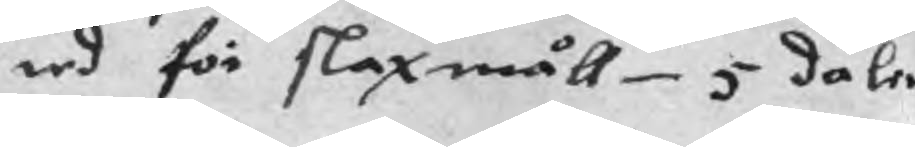red för slaxmåll 5 daler
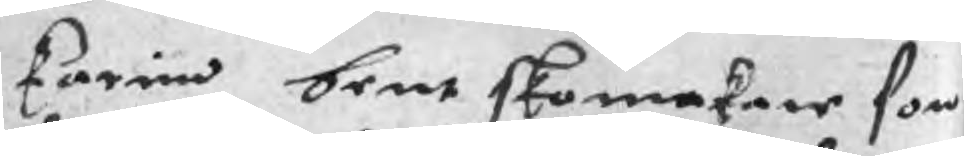Karin bent skomakare som
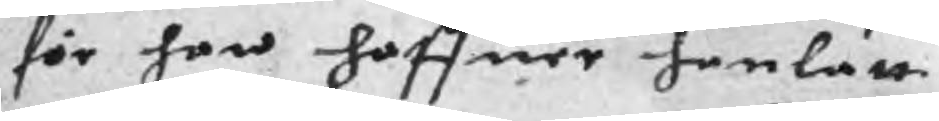för han haffuer hanlatt
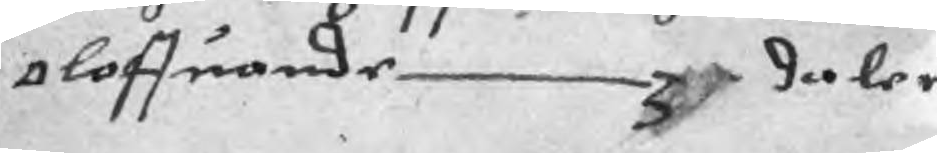oloffuande 3 daler
